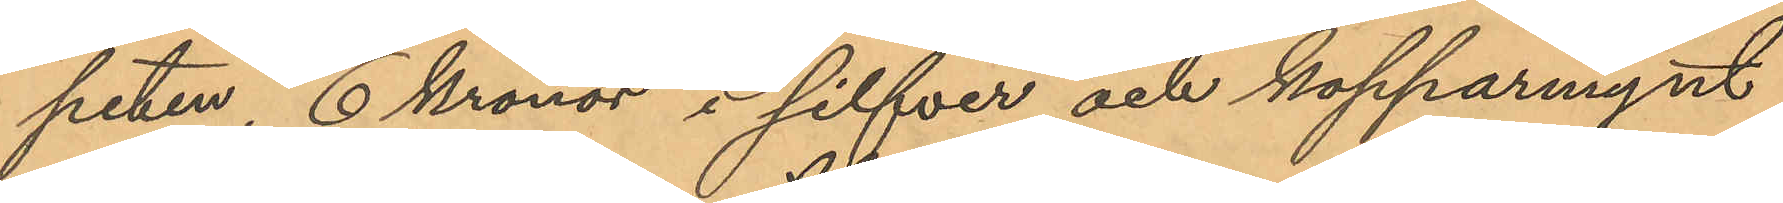peten, 6 Kronor i silfver och kopparmynt
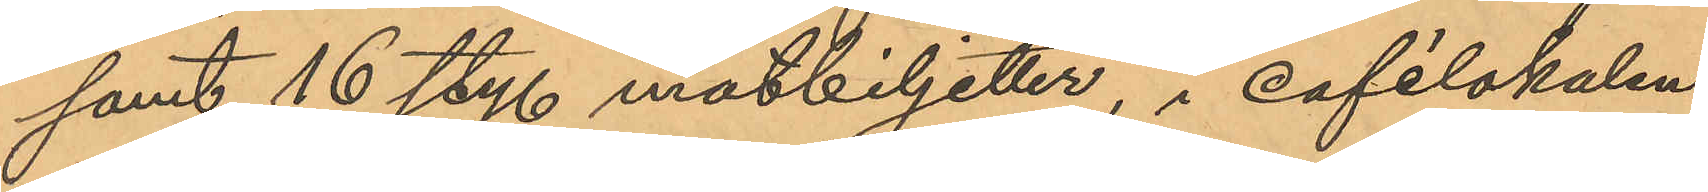samt 16 sty. matbiljetter, i cafélokalen
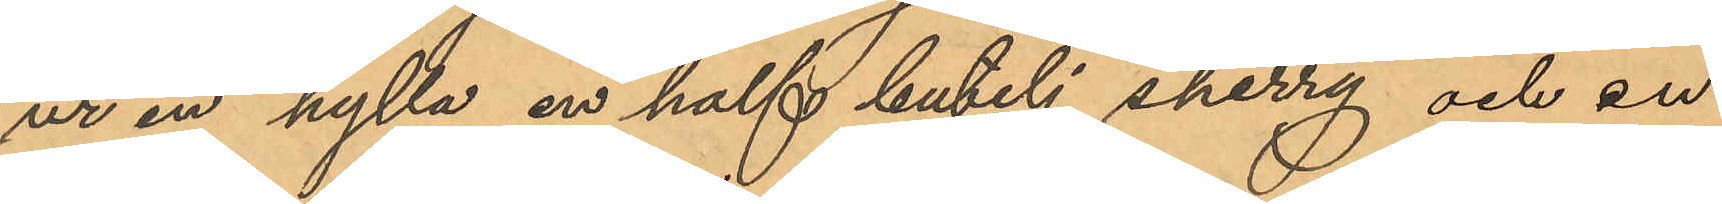ur en hylla en half butelj sherry och en
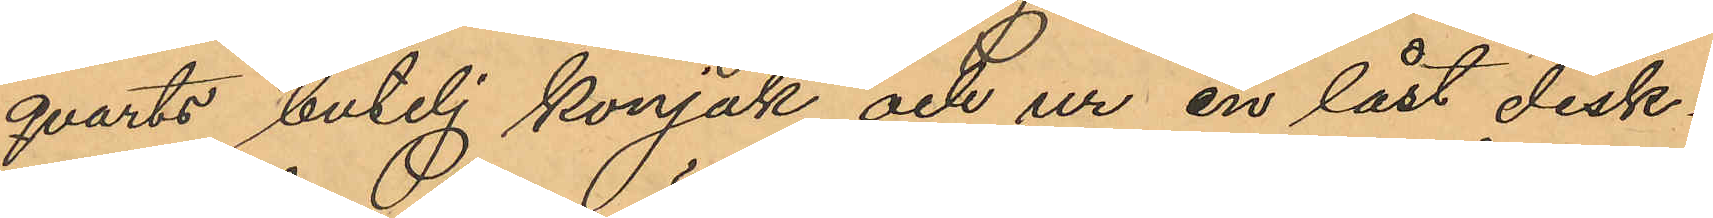qvarts butelj konjak och ur en låst disk¬
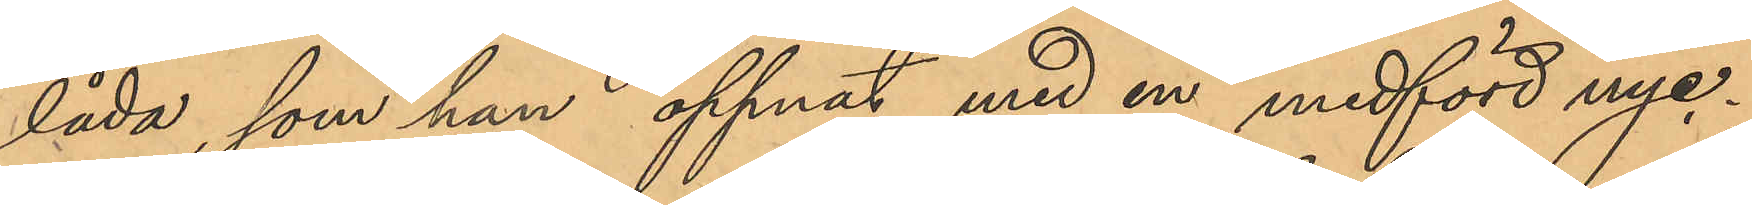låda, som han öppnat med en medförd nyc¬
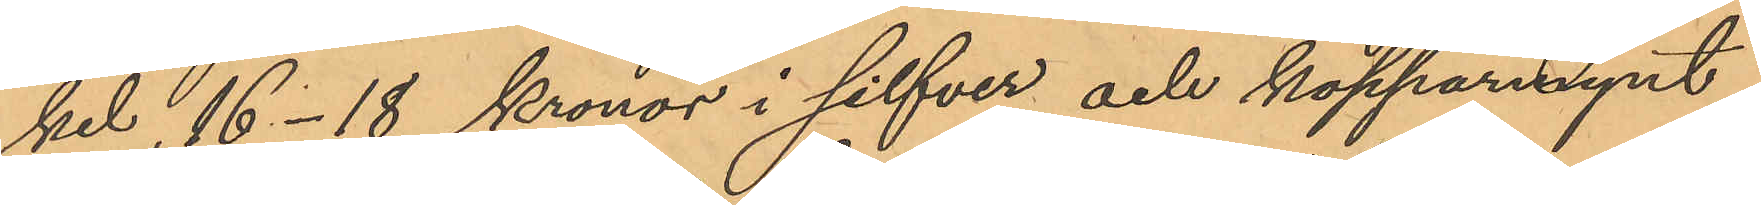kel, 16-18 kronor i silfver och kopparmynt,
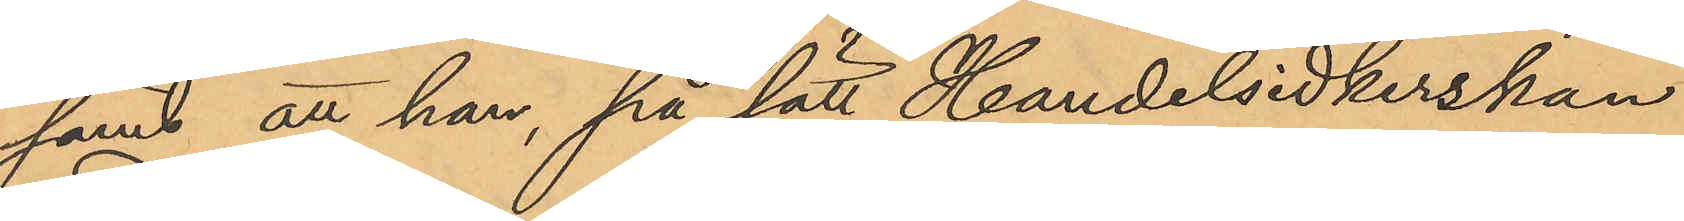samt att han, på sätt Handelsidkerskan
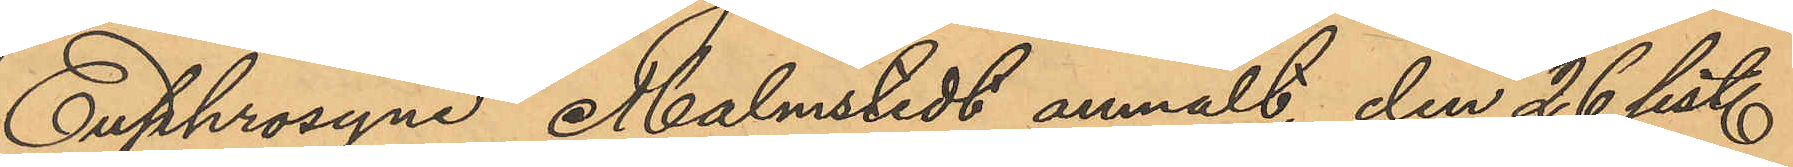Euphrosyne Malmstedt anmält, den 26 sist.
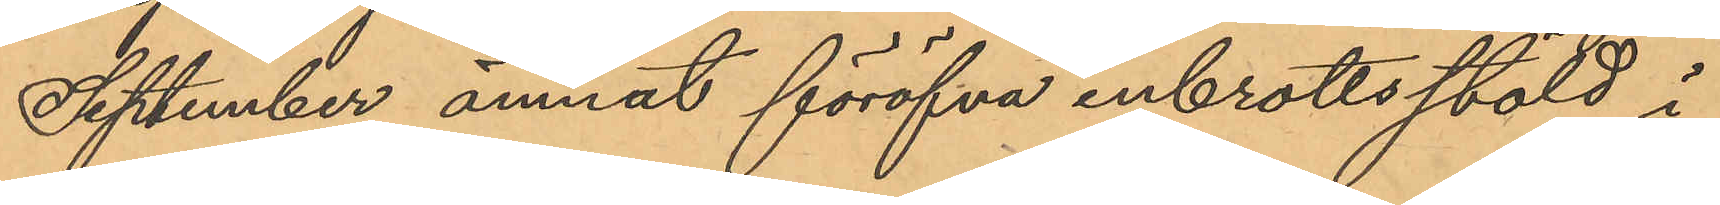September ämnat föröfva inbrottsstöld i
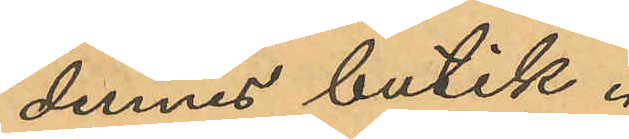dennes butik.
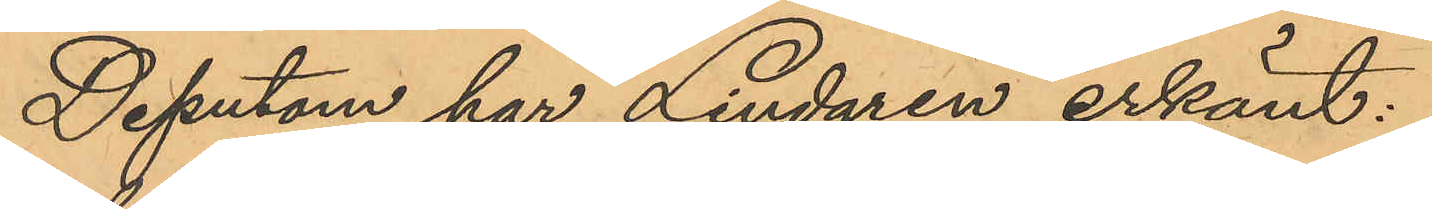Dessutom har Lindgren erkänt:
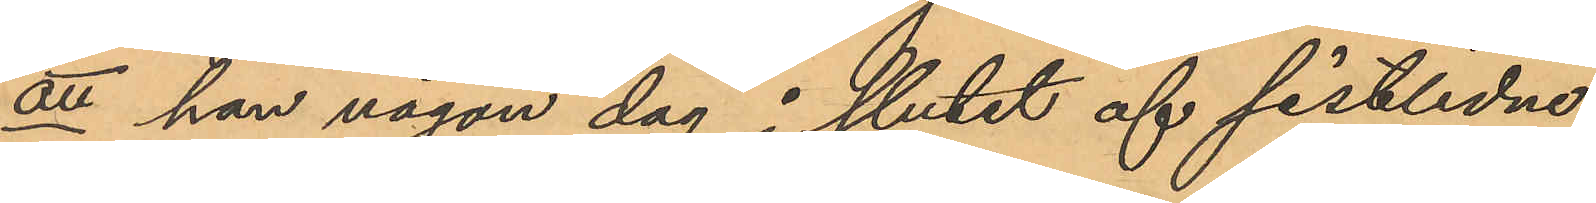att han någon dag i slutet af sistlidne
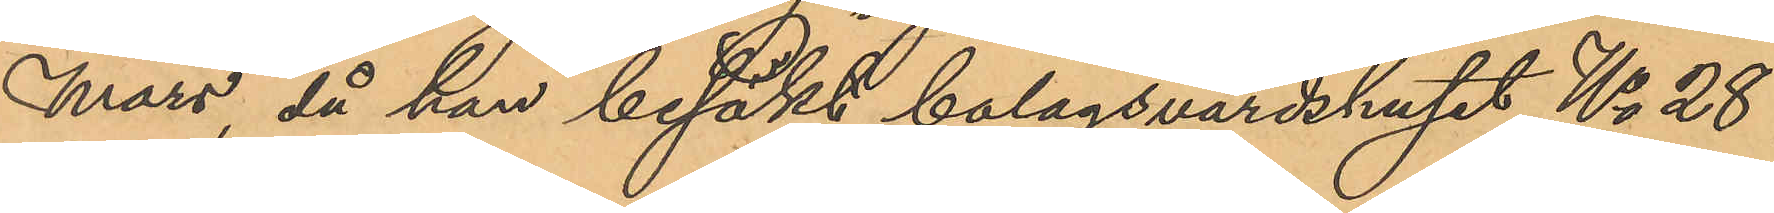Mars, då han besökt bolagsvärdshuset No 28
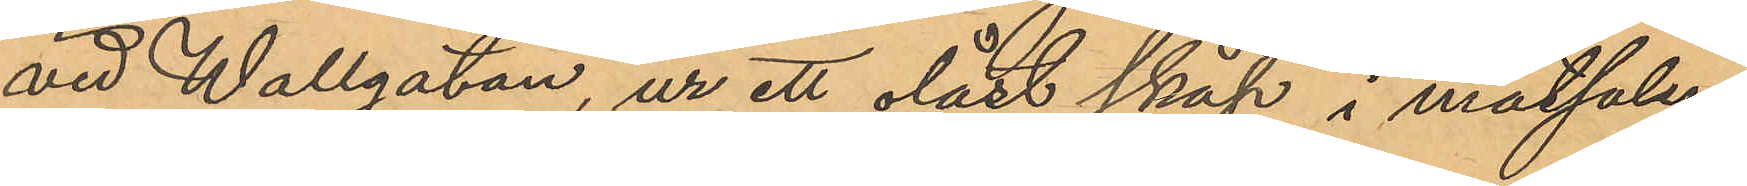vid Wallgatan, ur ett olåst skåp i matsalen
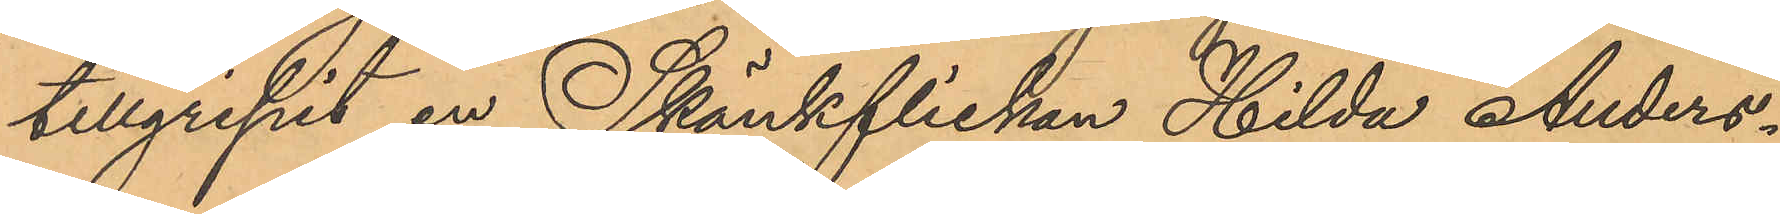tillgripit en Skänkflickan Hilda Anders¬
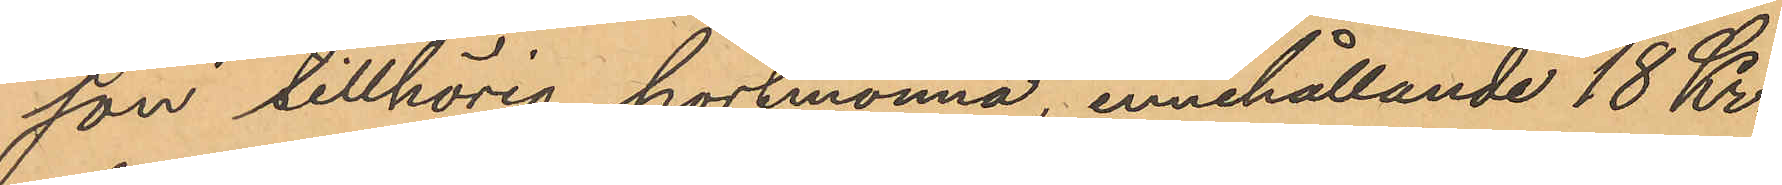son tillhörig portmonnä, innehållande 18 Kr.,
